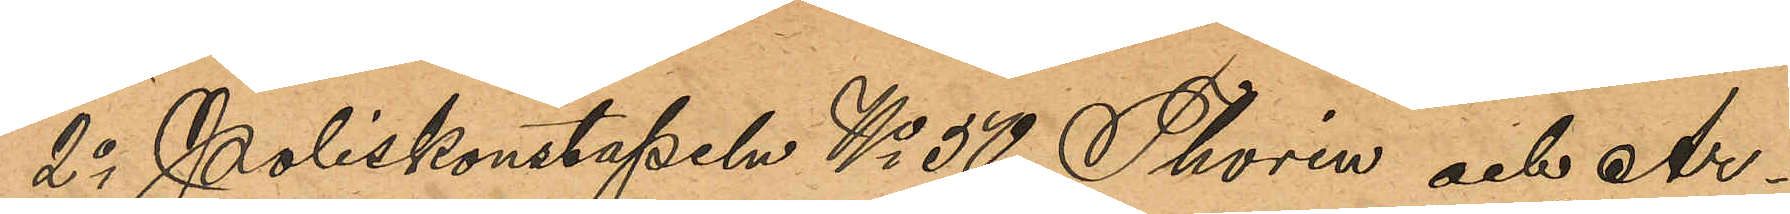2o Poliskonstapeln No 50 Thorin och Ar¬
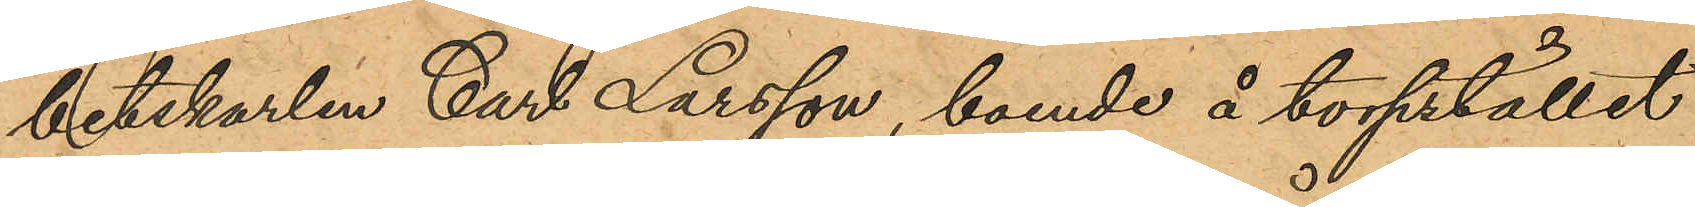betskarlen Carl Larsson, boende å torpstället
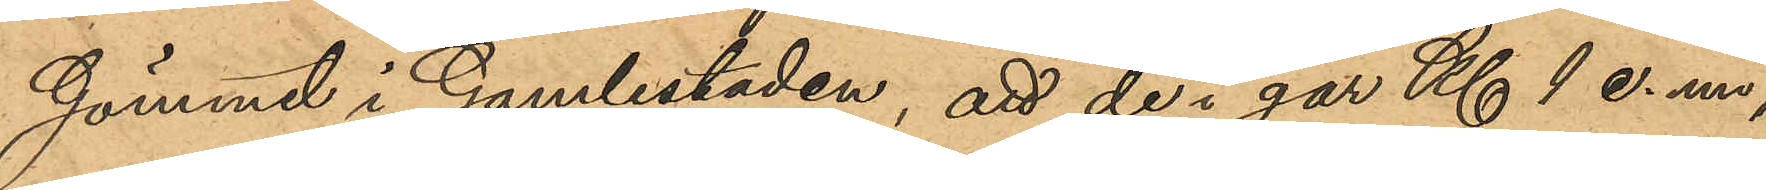Gömmet i Gamlestaden, att de i går Kl 1 e.m,
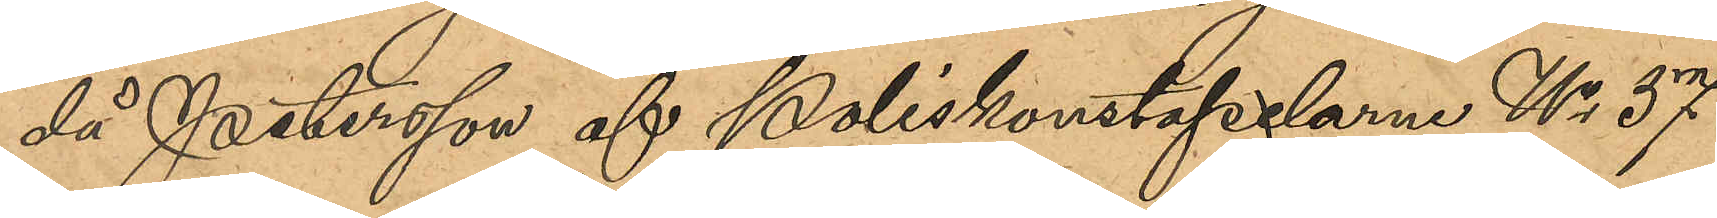då Petersson af Poliskonstapelarne No 37
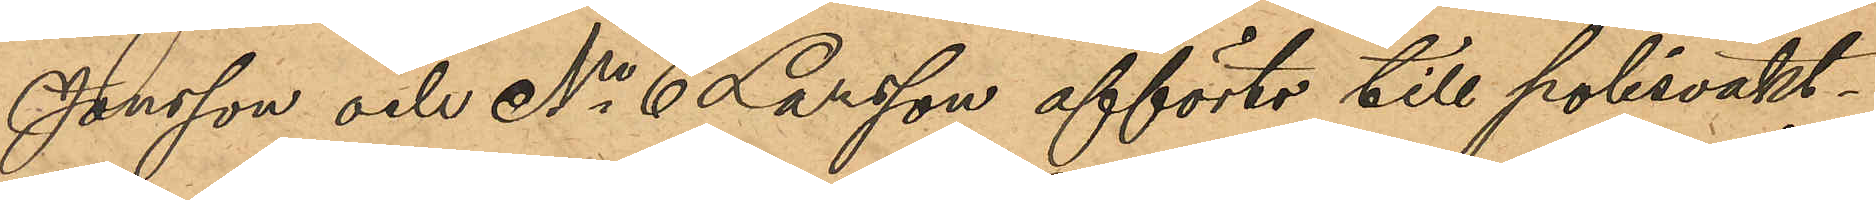Jonsson och No 6 Larsson afförts till polisvakt¬
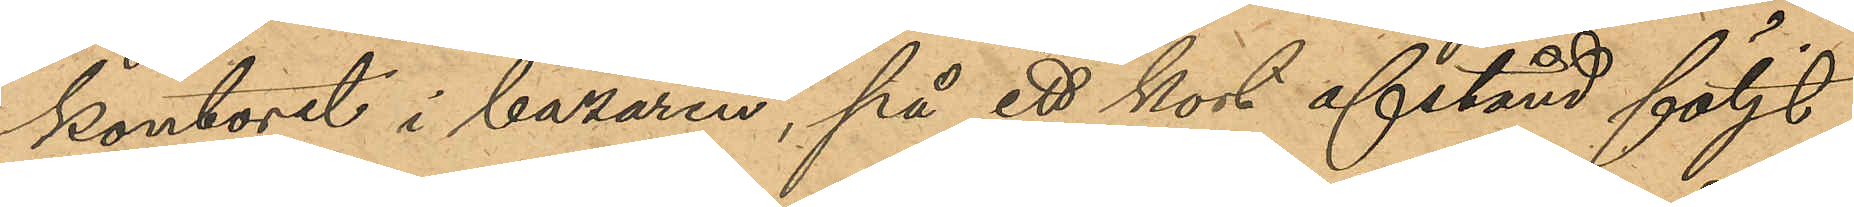kontoret i bazaren, på ett kort afstånd följt
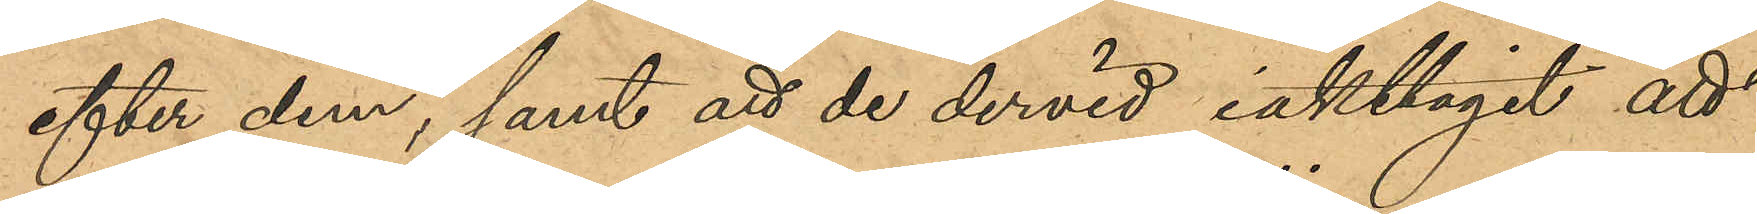efter dem, samt att de dervid iakttagit att
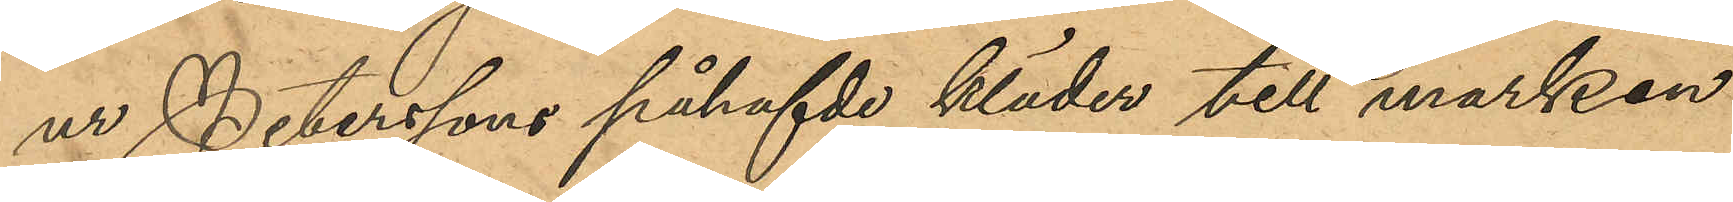ur Peterssons påhafvde kläder till marken
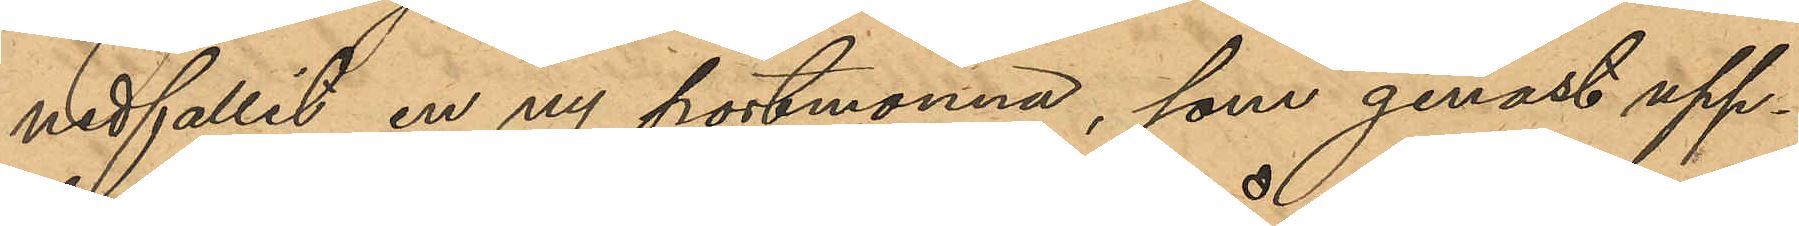nedfallit en ny portmonnä, som genast upp¬
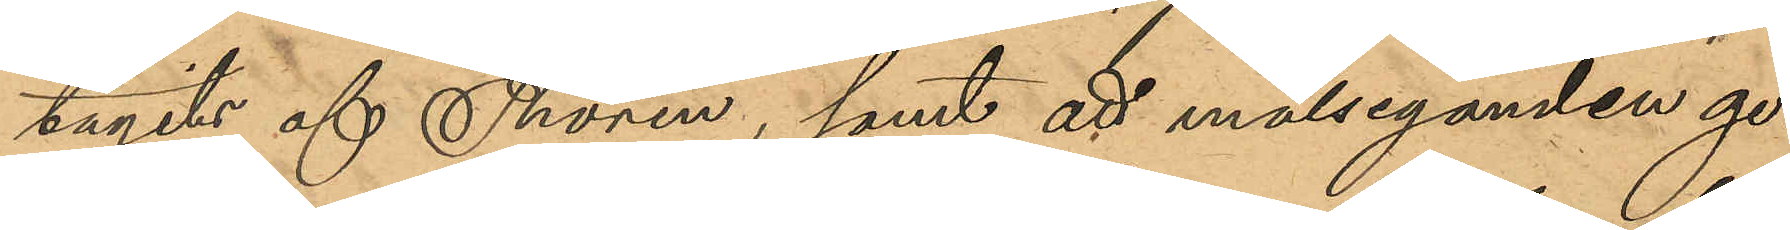tagits av Thorin, samt att målseganden ge¬
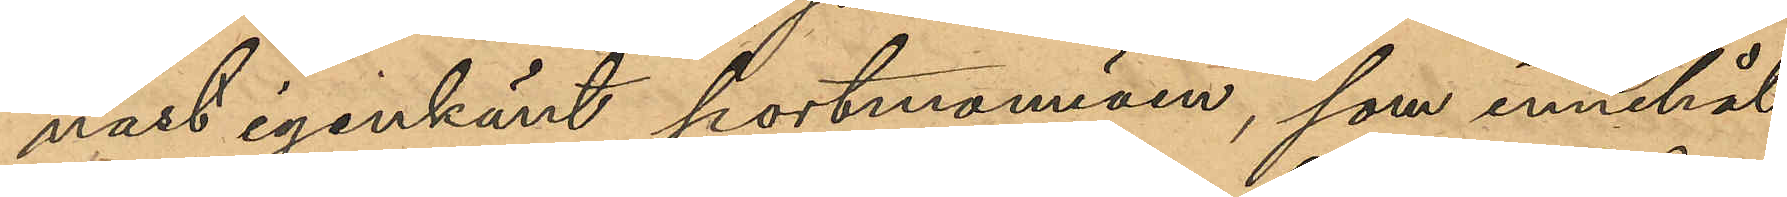nast igenkänt portmonnäen, som innehål¬
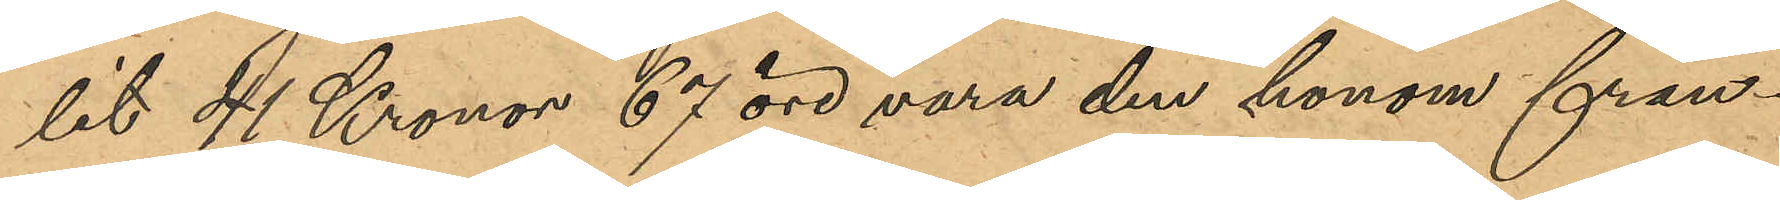lit 41 Kronor 67 öre vara den honom från¬
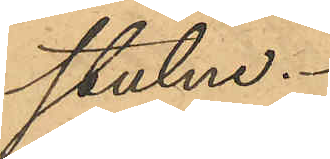stulne.
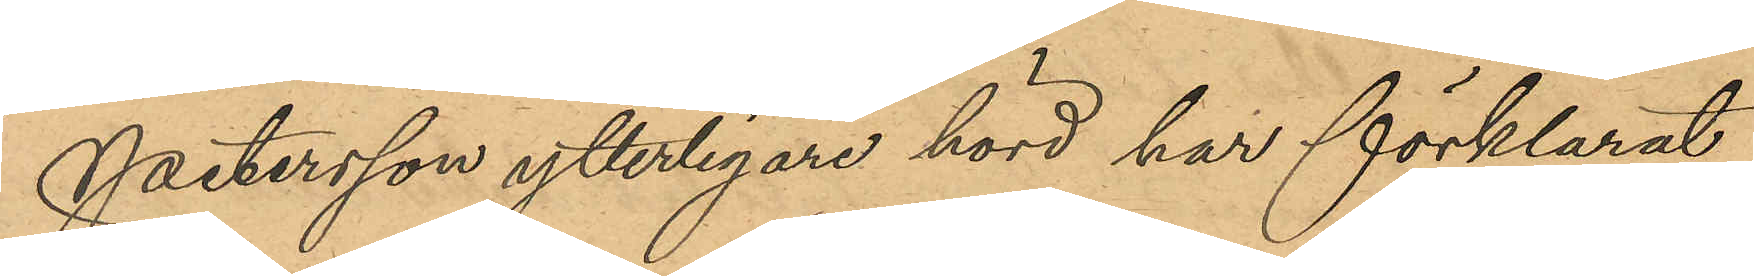Petersson ytterligare hörd har förklarat
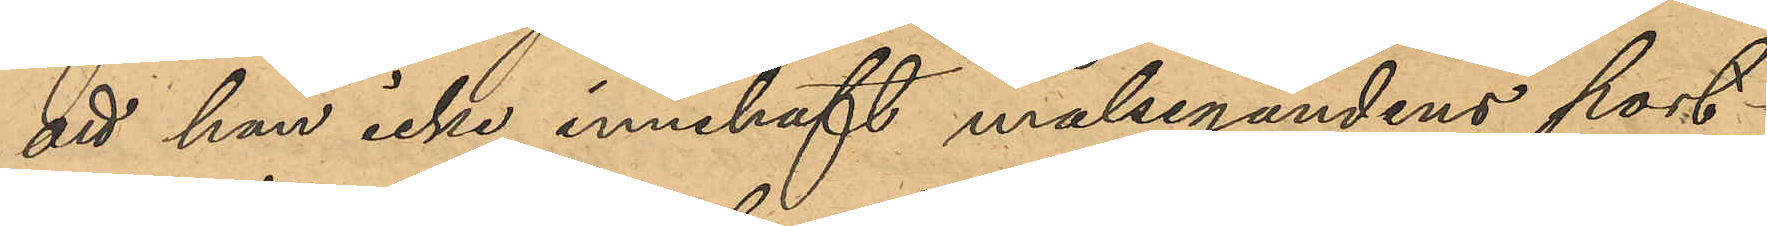att han icke innehaft målsegandens port¬
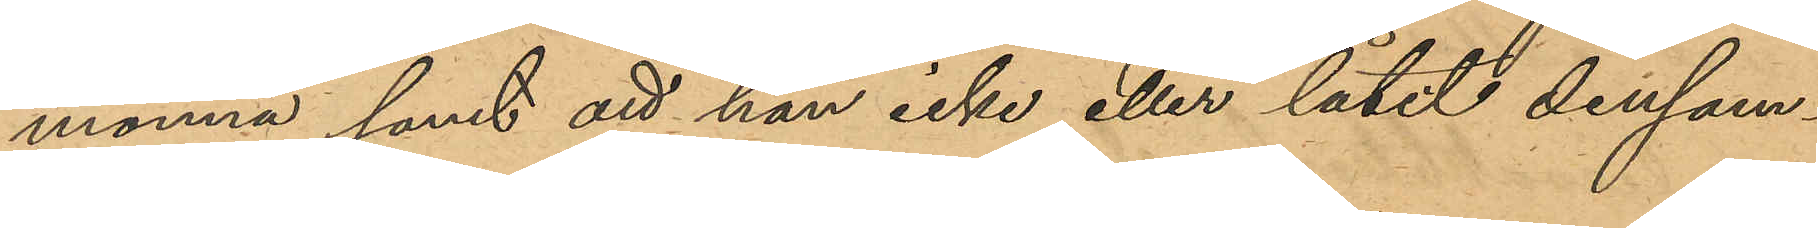monnä samt att han icke eller låtit densam¬
